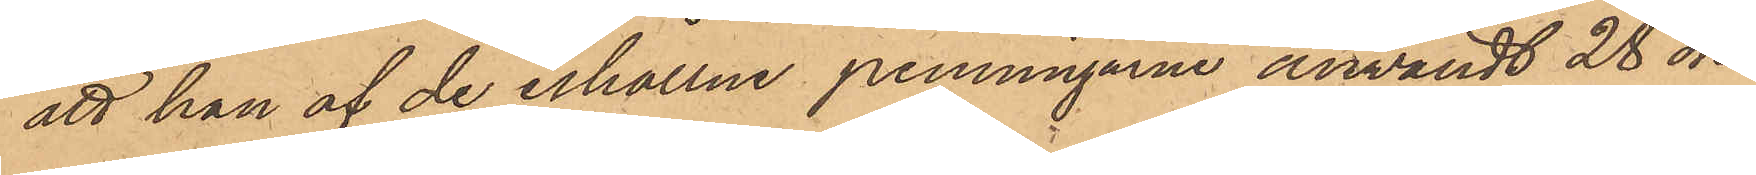att han af de erhållne penningarne användt 28 öre
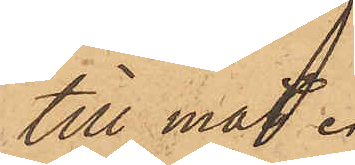till mat.
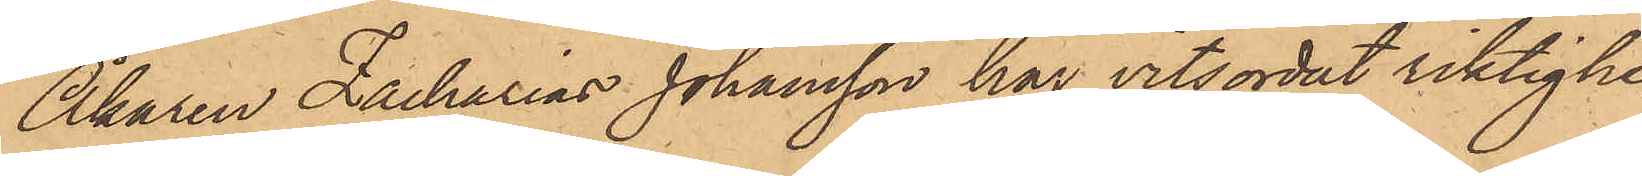Åkaren Zacharias Johansson har vitsordat riktighe¬
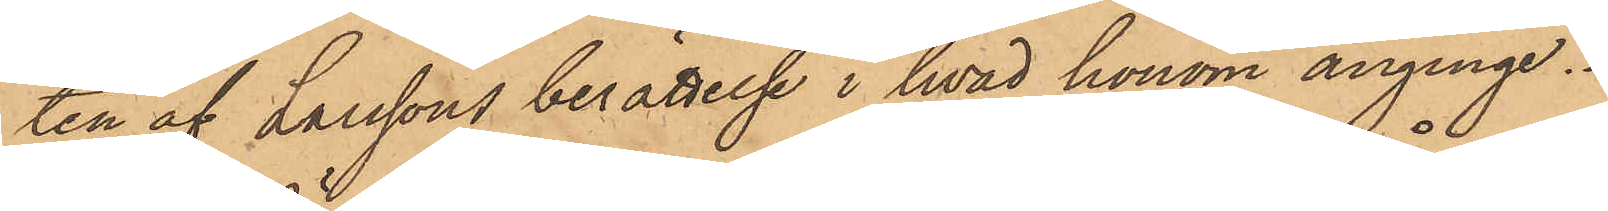ten af Larssons berättelse i hvad honom anginge.
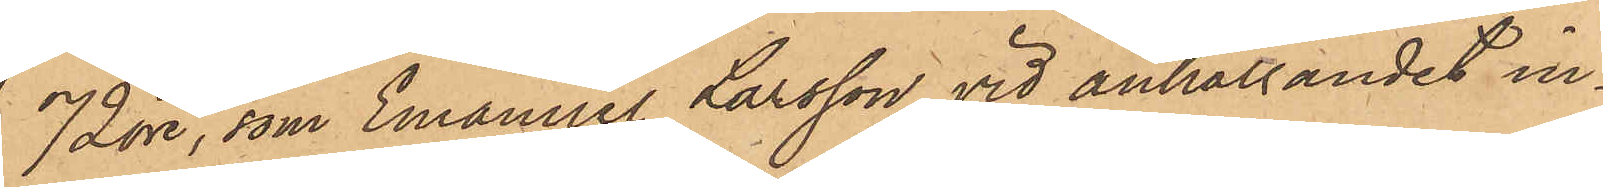72 öre, som Emanuel Larsson vid anhållandet in¬
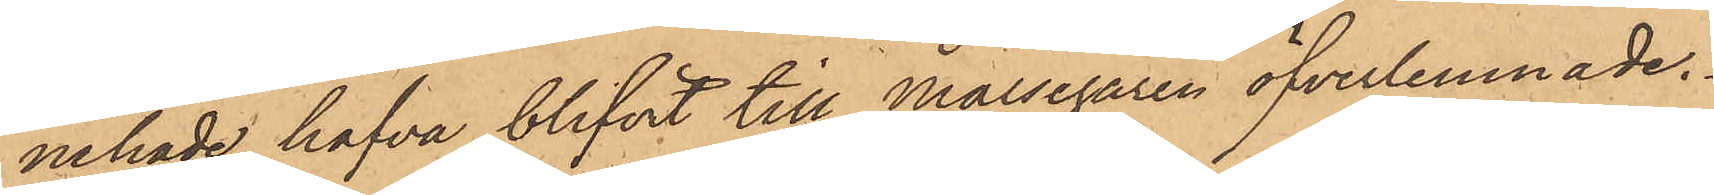nehade hafva blifvit till Målsegaren öfverlemnade.
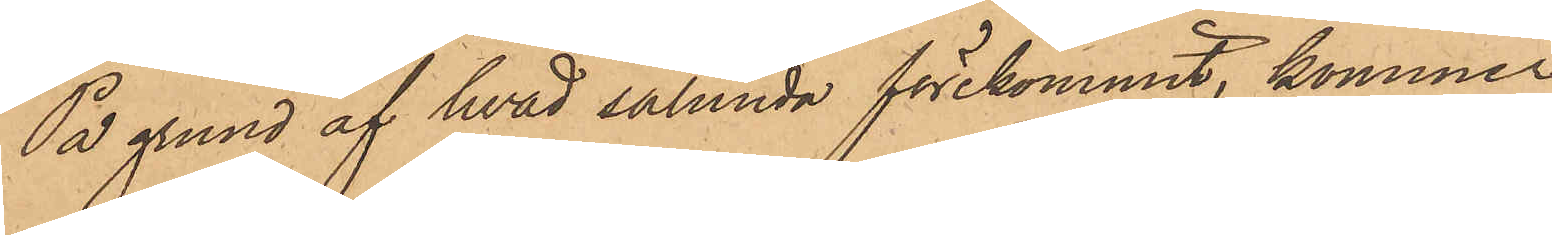På grund af hvad sålunda förekommit, kommer
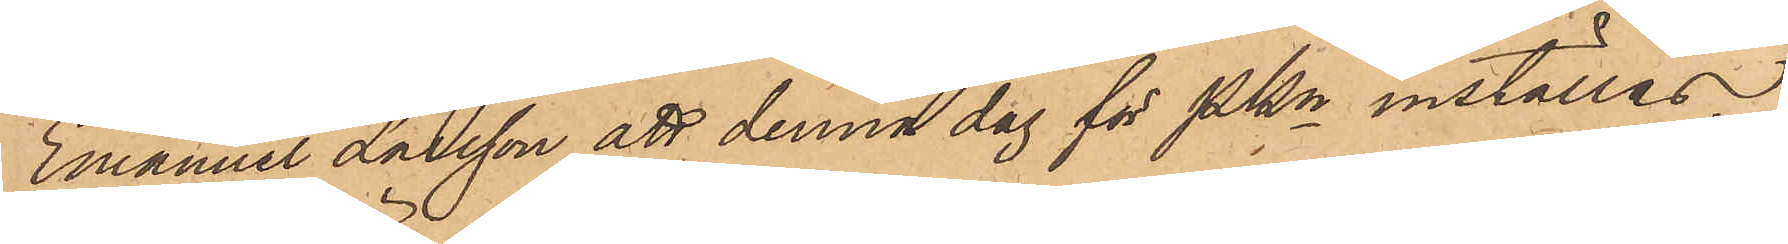Emanuel Larsson att denna dag för PKn inställas.
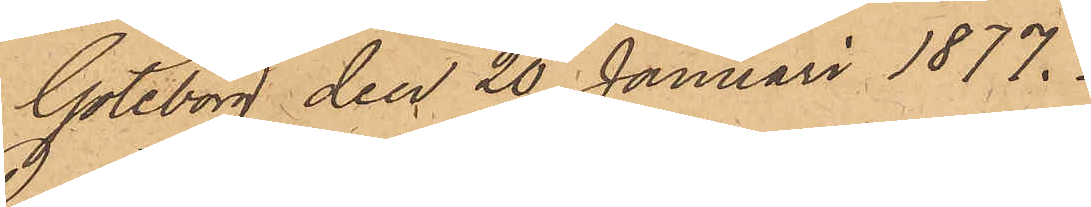Göteborg den 20 Januari 1877.
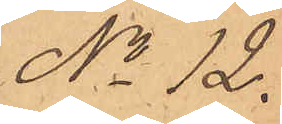No 12.
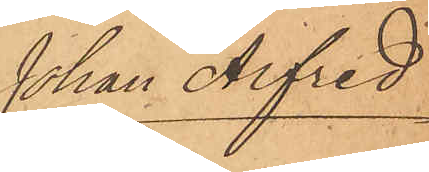Johan Alfred
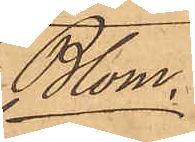Blom
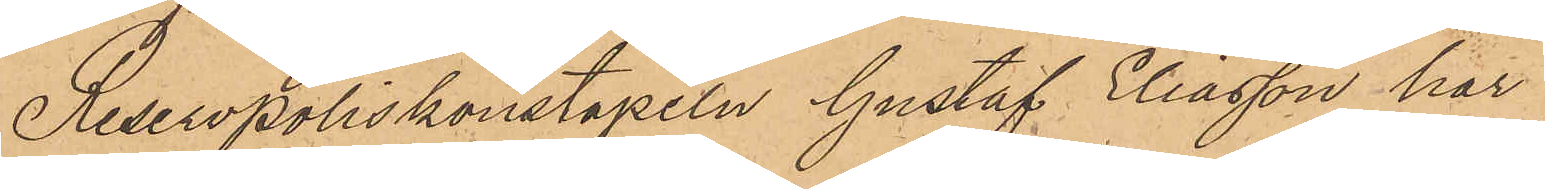Reservpoliskonstapeln Gustaf Eliasson har
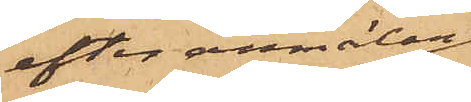efter anmälan
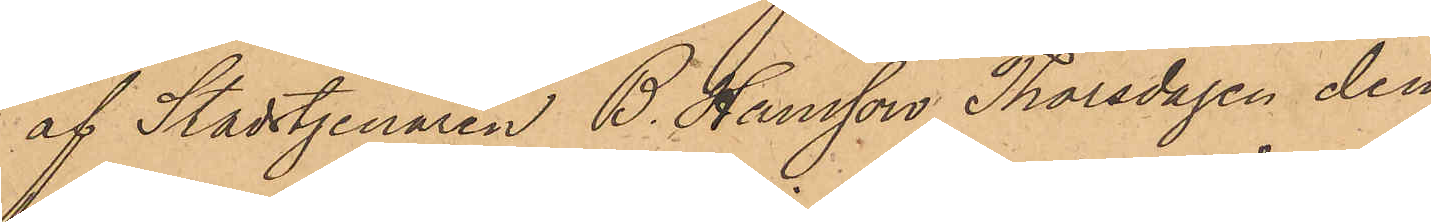af Stadstjenaren B. Hansson Thorsdagen den
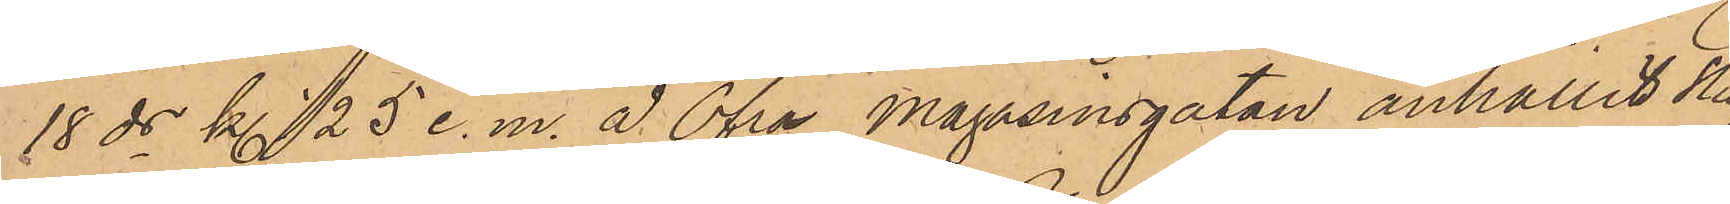18 ds kl. 1/2 5 e. m. å Öfra Magasinsgatan anhållit Stuf¬
